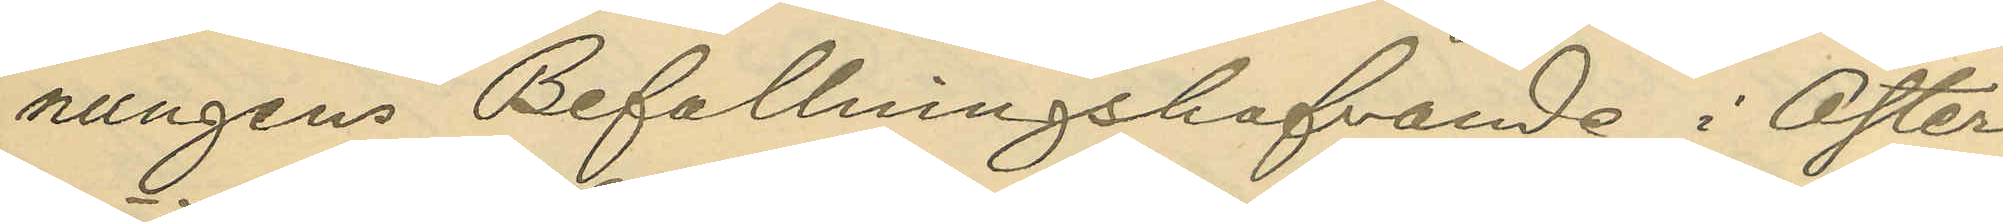nungens Befallningshafvande i Öster¬
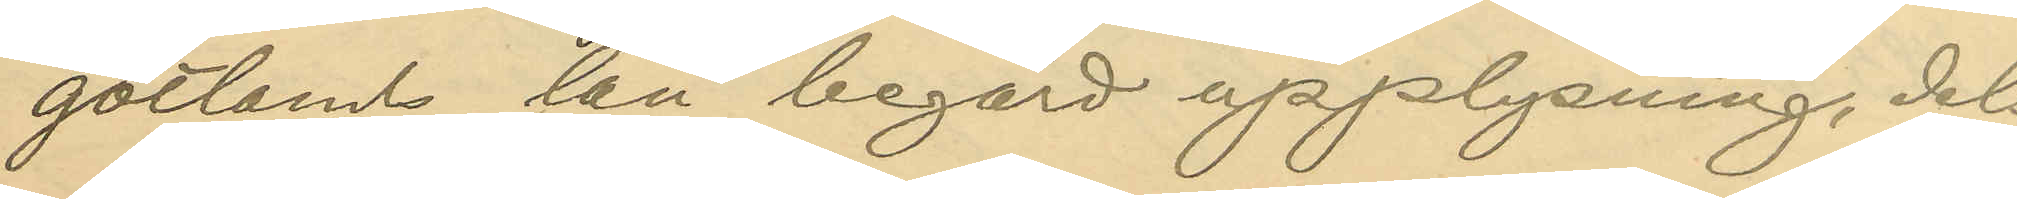götlands län begärd upplysning, dels
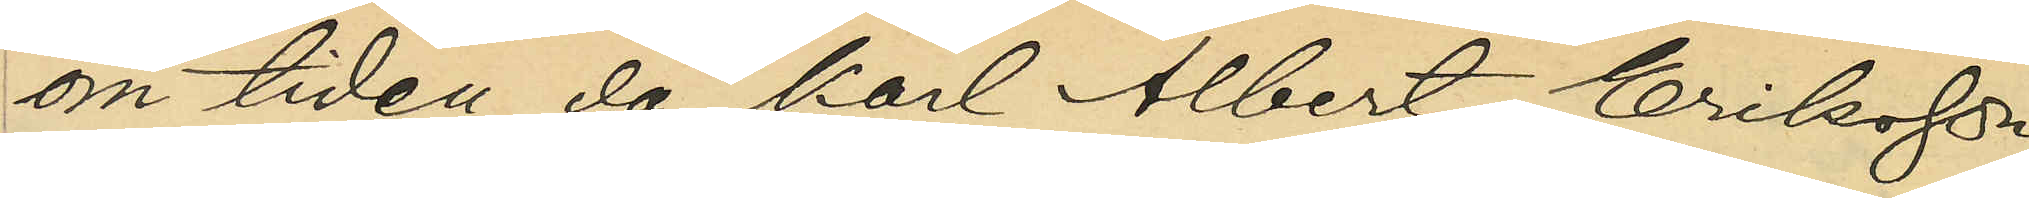om tiden, då Karl Albert Eriksson
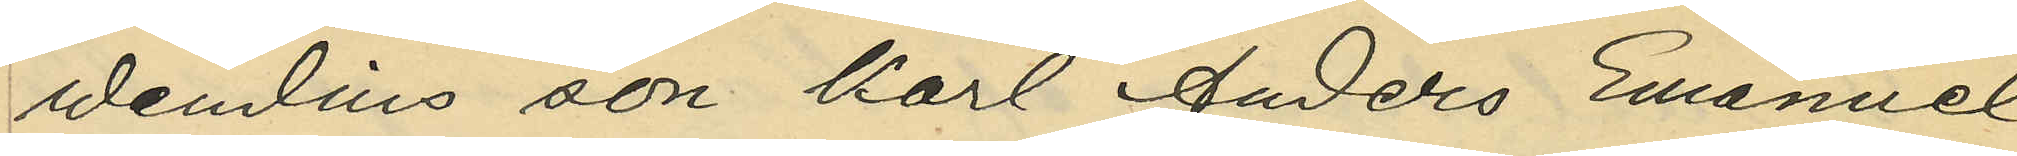Wendins son Karl Anders Emanuel
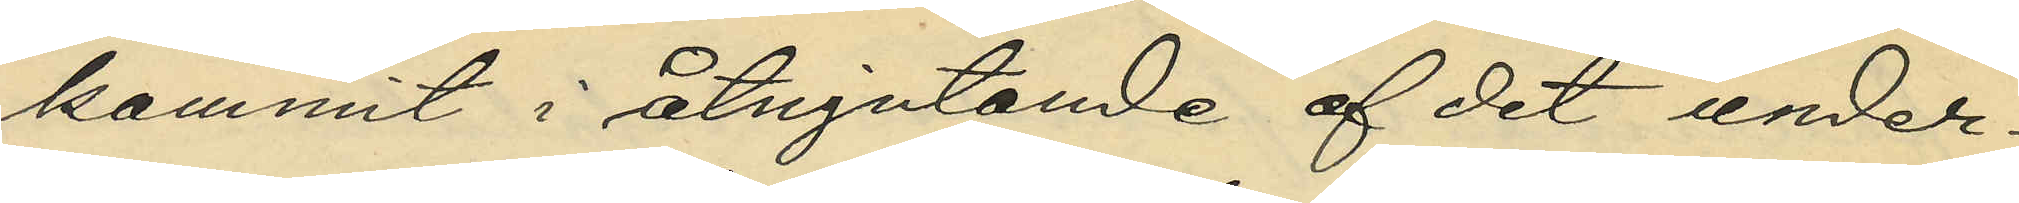kommit i åtnjutande af det under¬
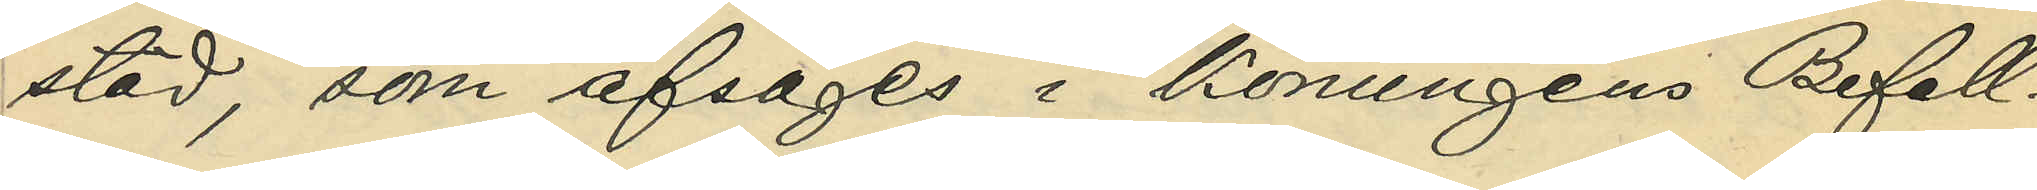stöd som afsåges i Konungens Befall¬
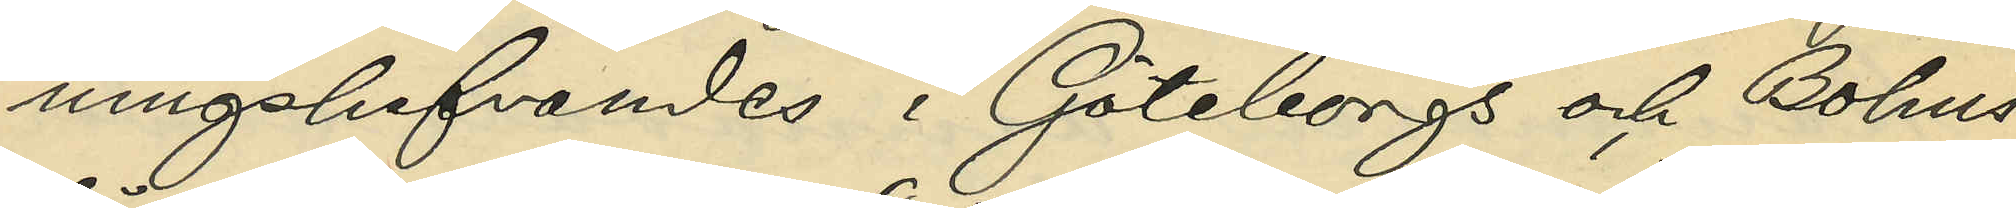ningshafvandes i Göteborgs och Bohus
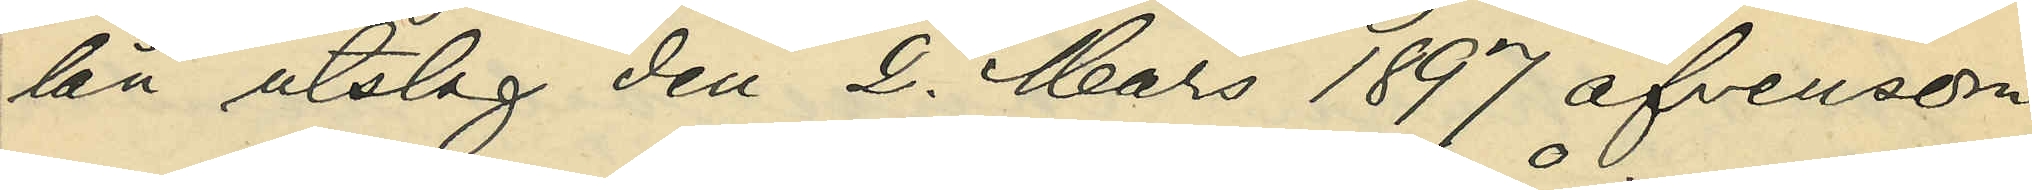län utslag den 2. Mars 1897 äfvensom
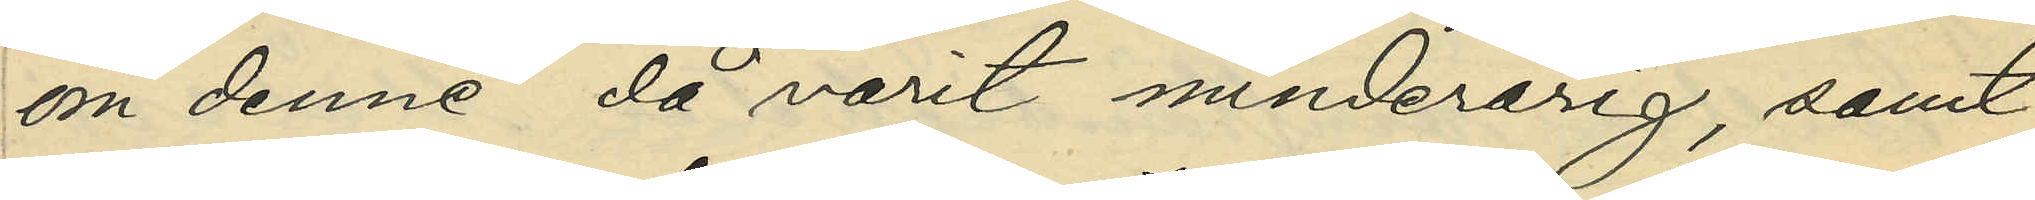om denne då varit minderårig, samt
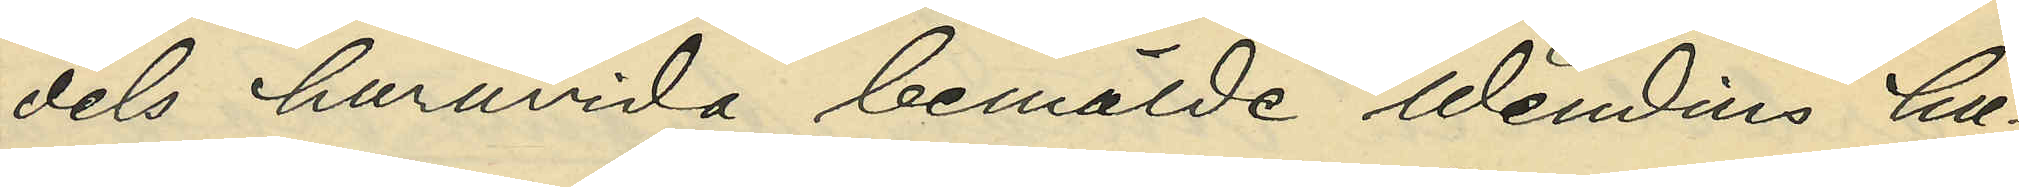dels huruvida bemälde Wendins hu¬
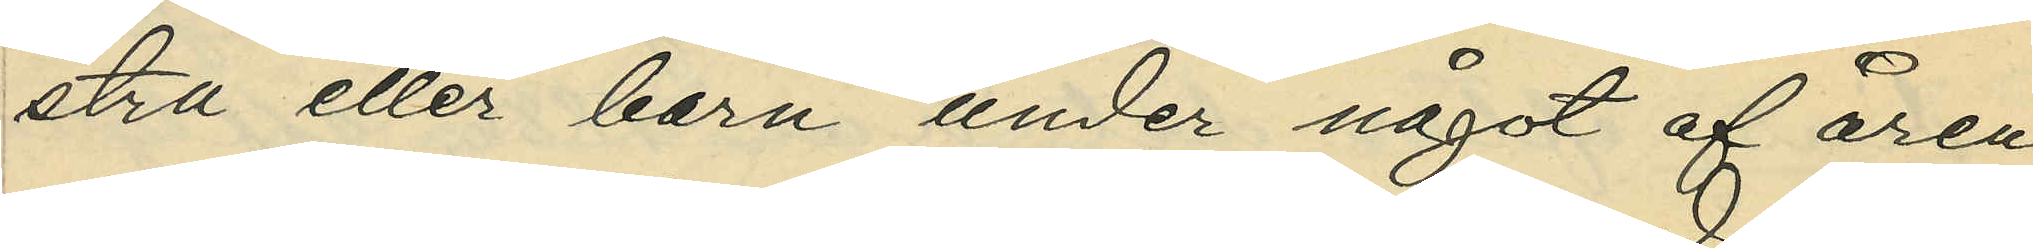stru eller barn under något af åren
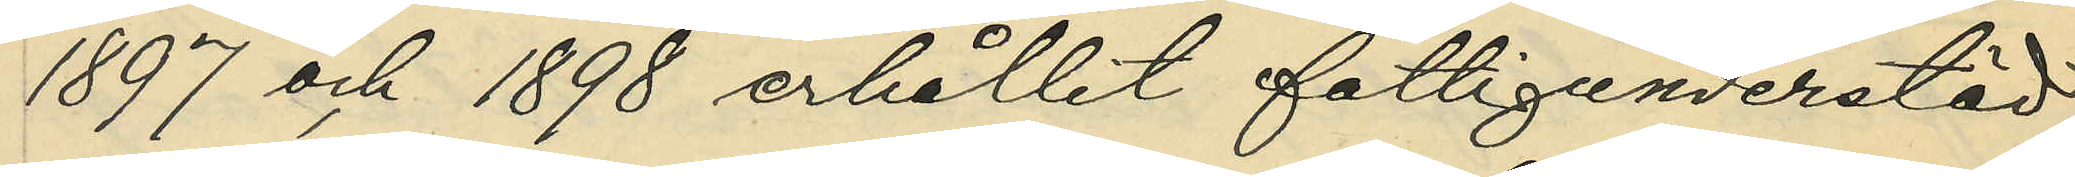1897 och 1898 erhållit fattigunderstöd,
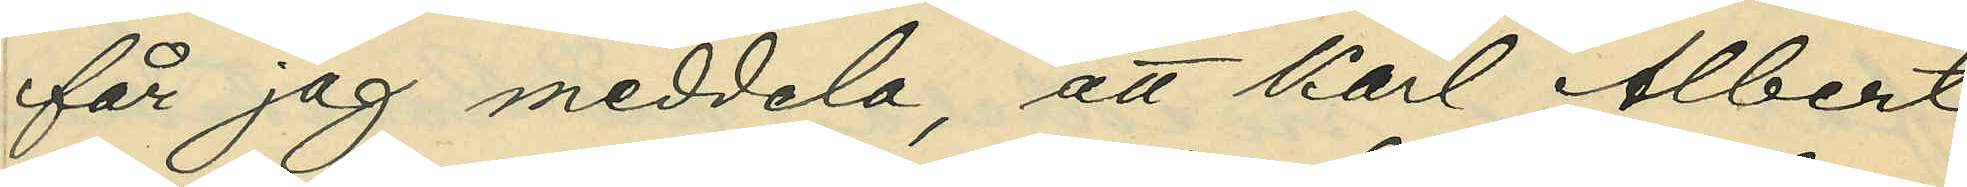får jag meddela, att Karl Albert
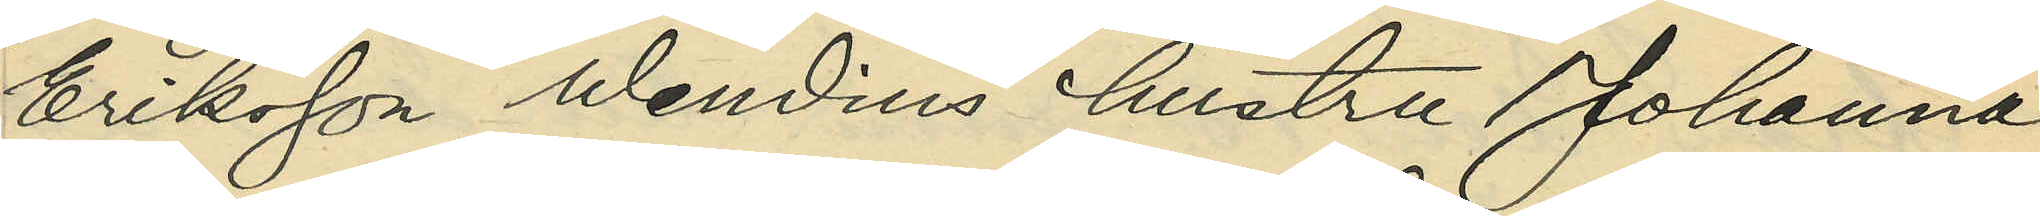Eriksson Wendins hustru Johanna
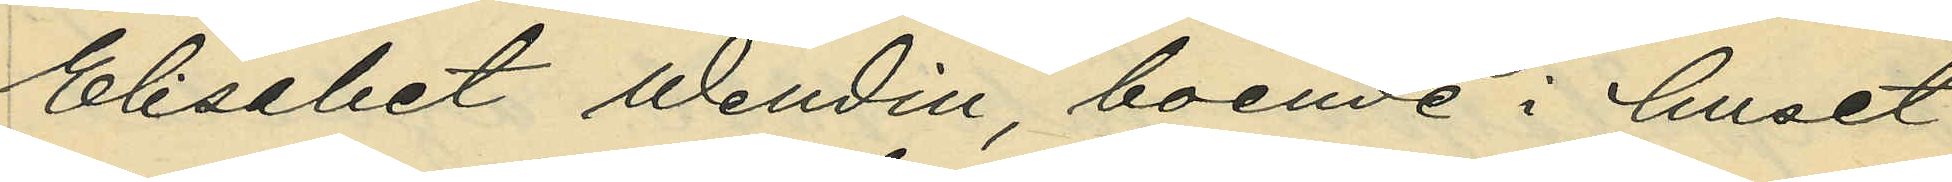Elisabet Wendin, boende i huset
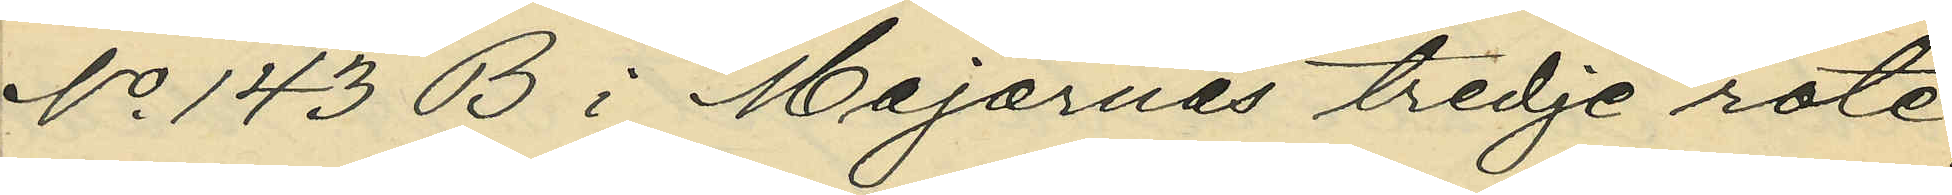No 143 B i Majornas tredje rote,
